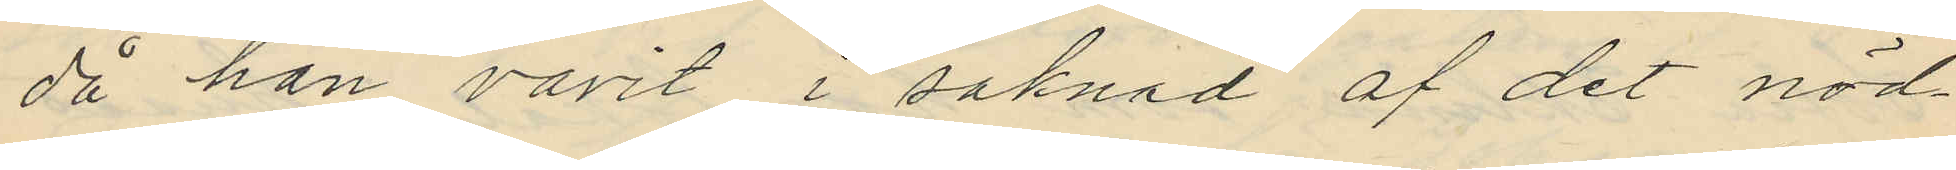då han varit i saknad af det nöd¬
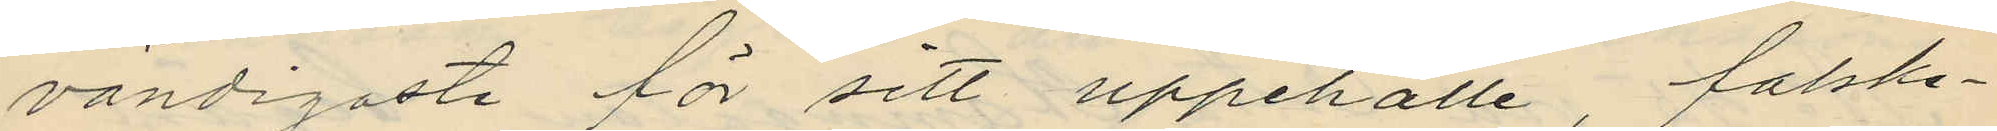vändigaste för sitt uppehälle, falske¬
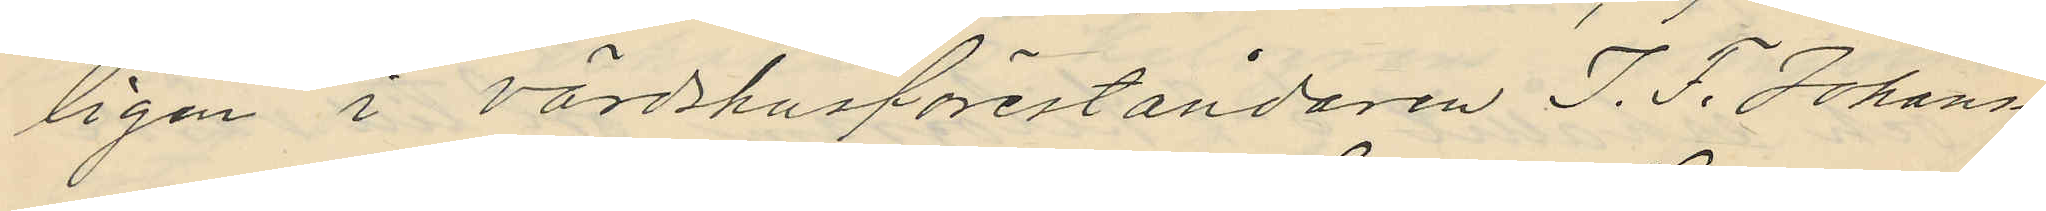ligen i värdshusföreståndaren J. F. Johans¬
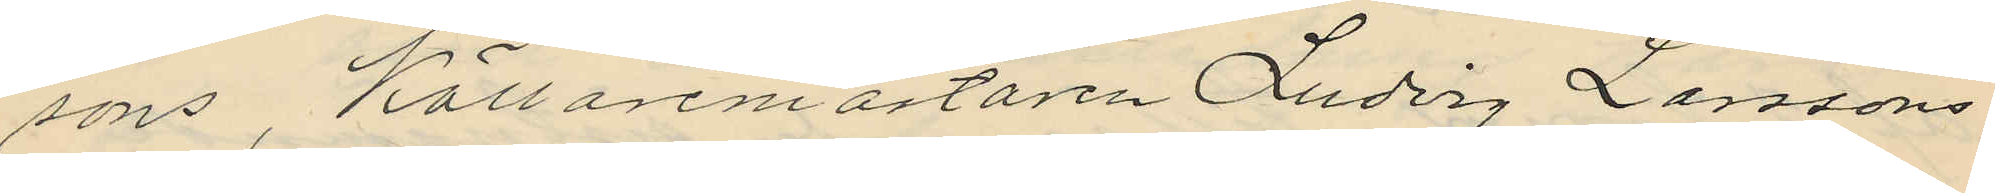sons, Källaremästaren Ludvig Larssons
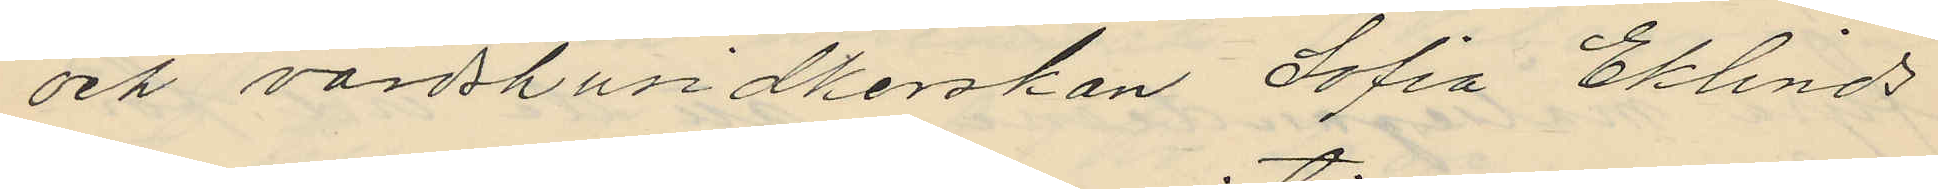och värdshusidkerskan Sofia Eklinds
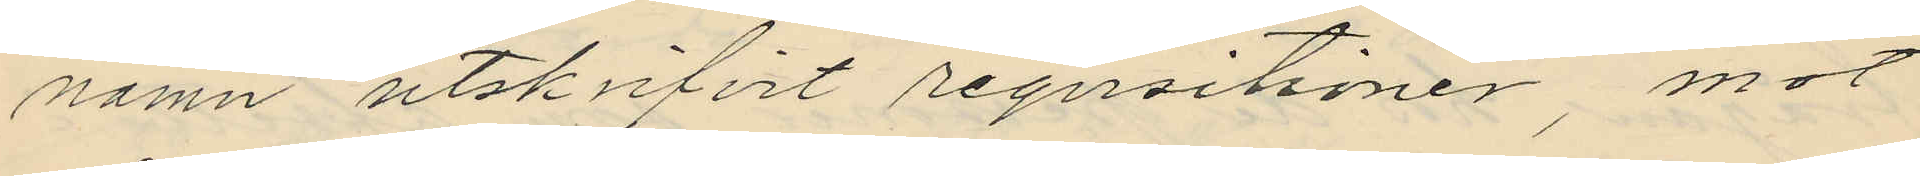namn utskrifvit reqvisitioner, mot
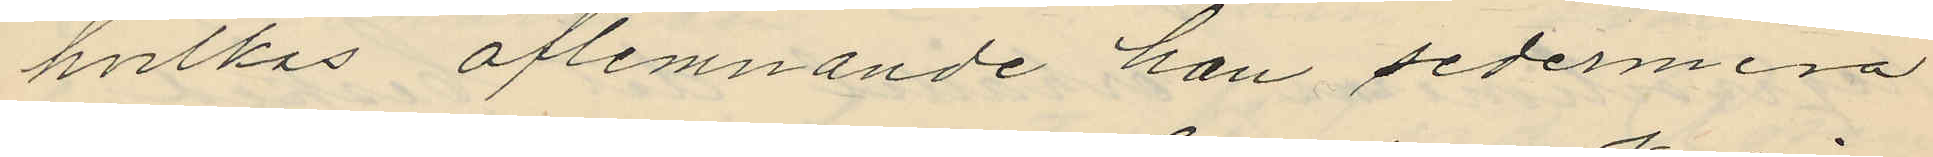hvilkas aflemnande han sedermera
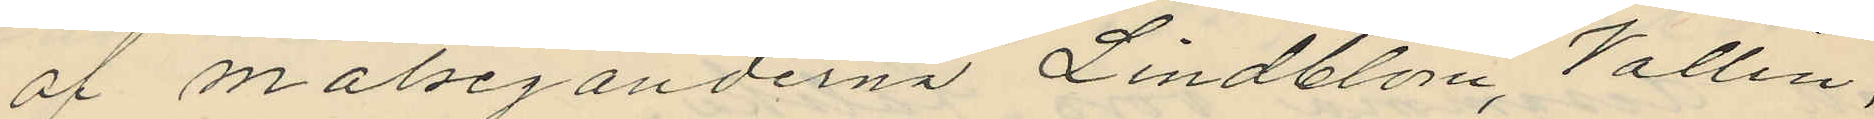af målseganderna Lindblom, Vallin
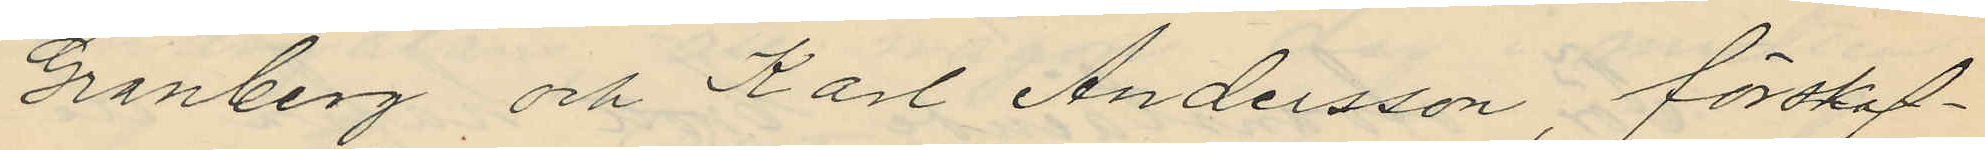Granberg och Karl Andersson, förskaf¬
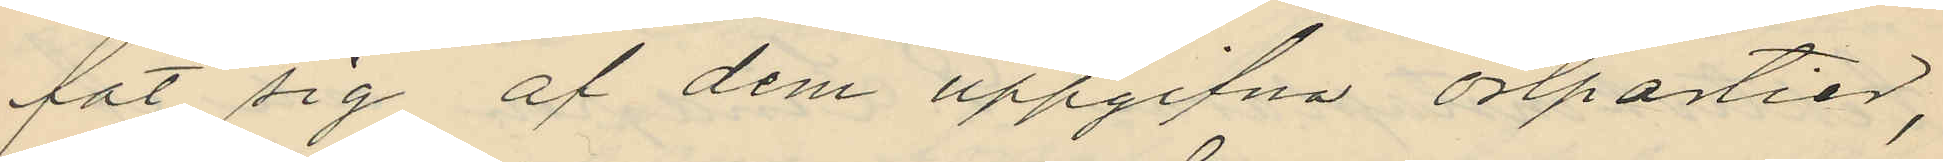fat sig af dem uppgifna ostpartier,
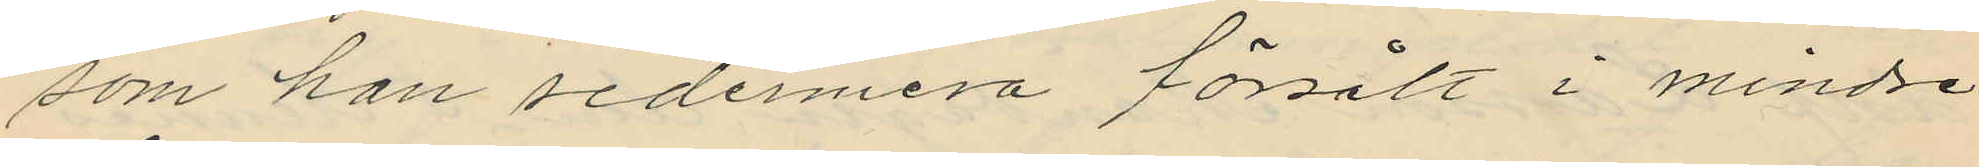som han sedermera försålt i mindre
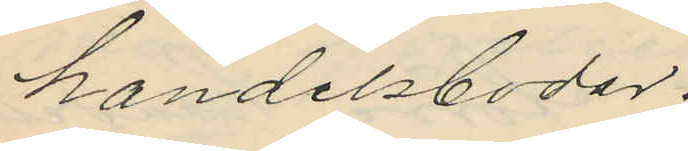handelsbodar.
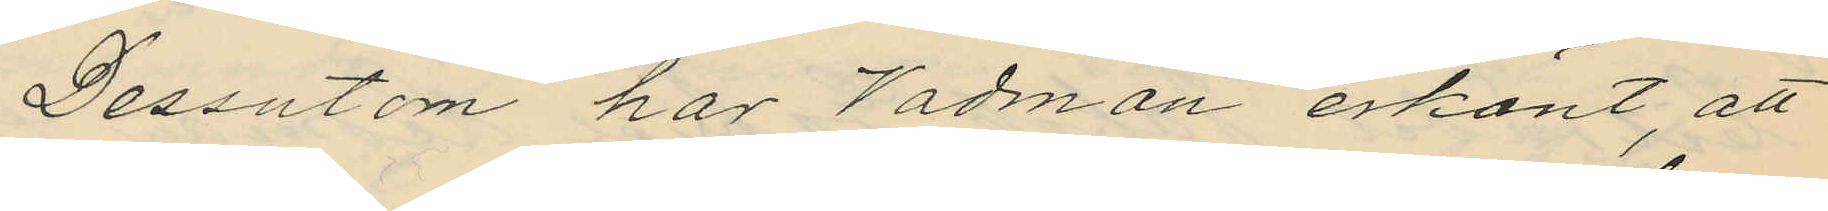Dessutom har Vadman erkänt, att
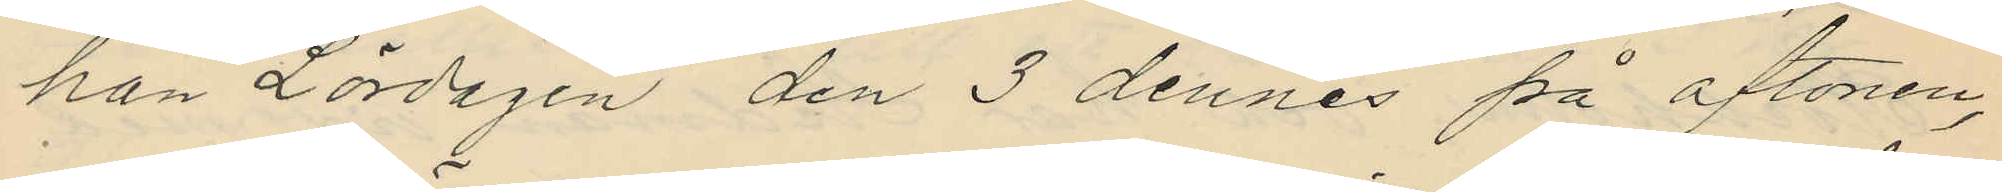han Lördagen den 3 dennes på aftonen,
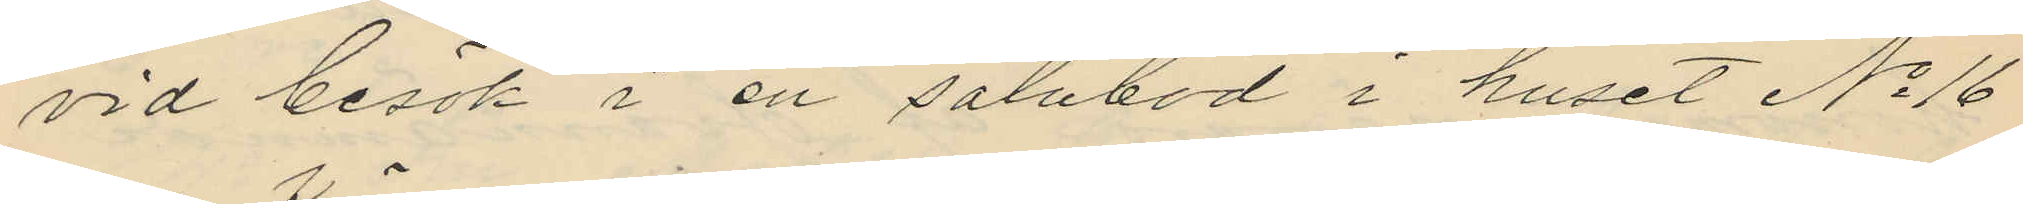vid besök i en salubod i huset No 16
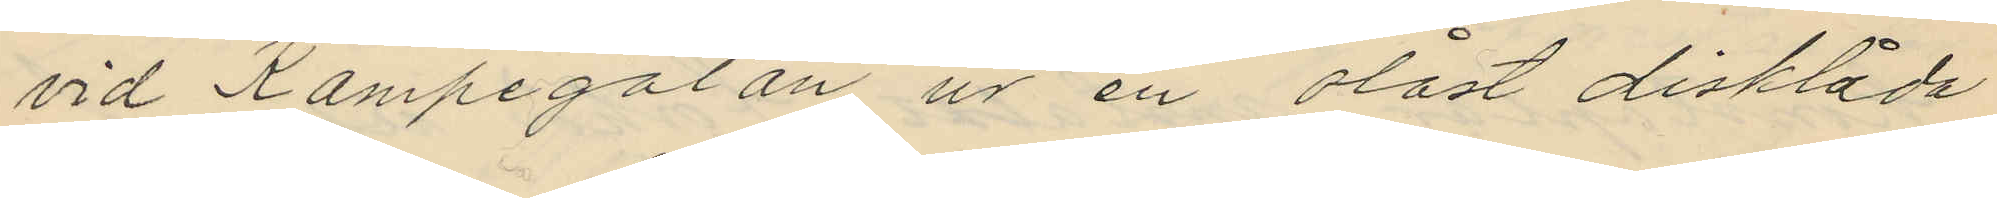vid Kämpegatan ur en olåst disklåda
